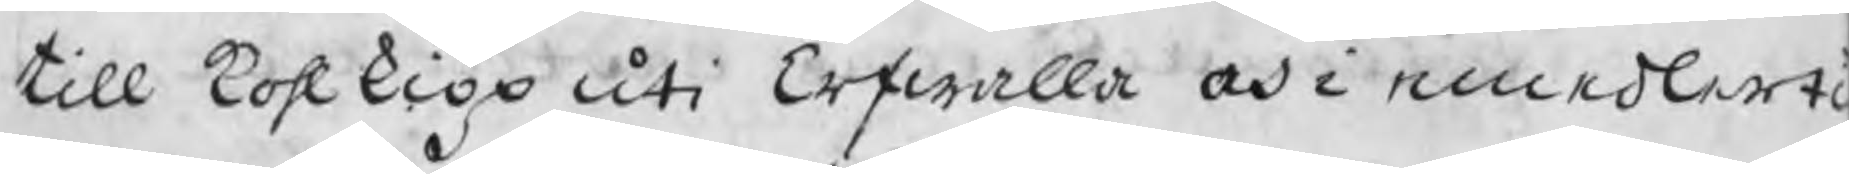till kohlkiöp uti Erfwalla och i emedlerti
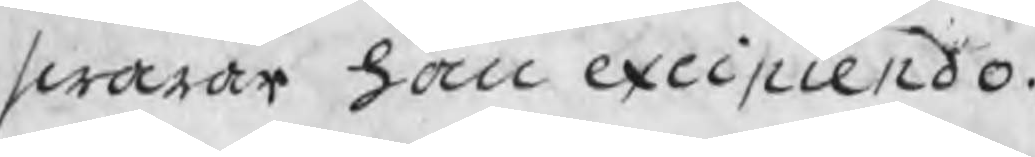swarar han excipiendo.
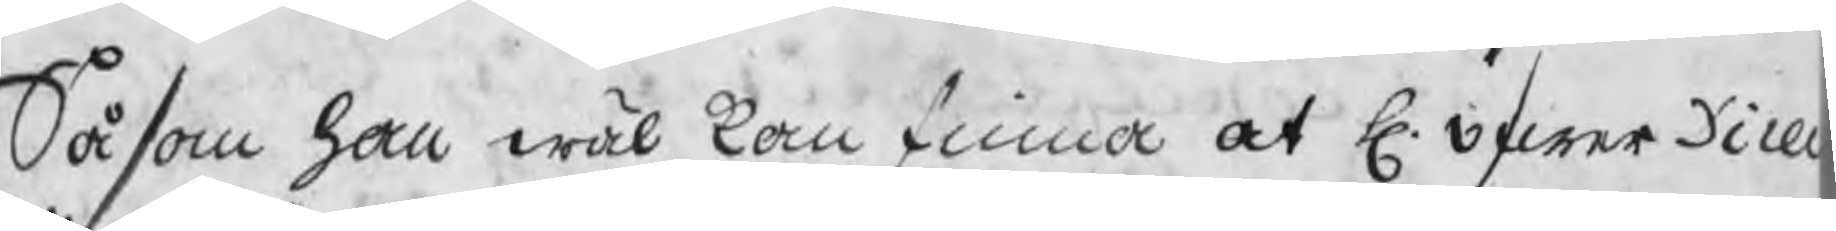Såsom han wäl kan finna at H. öfwerDirec
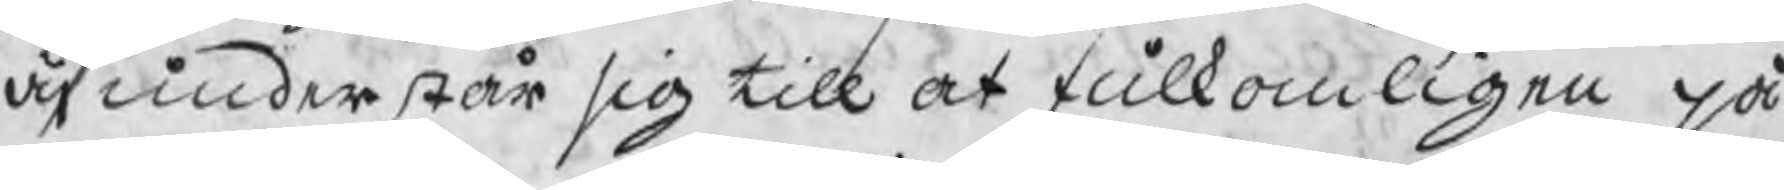äj understår sig till at fulkomligen på¬
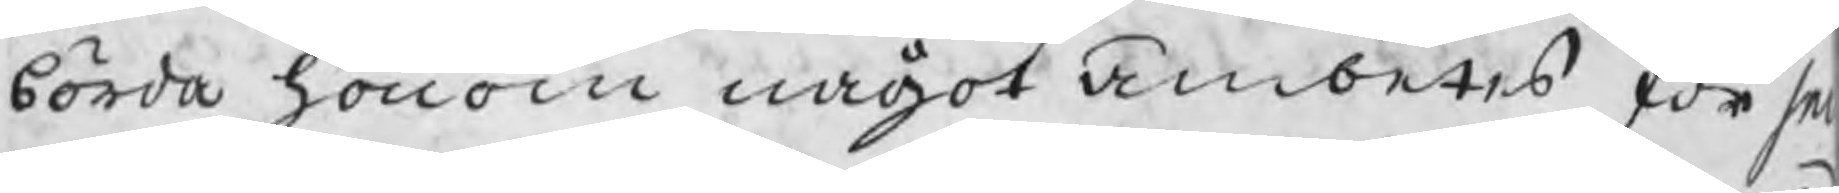börda honom något ämbetes förs
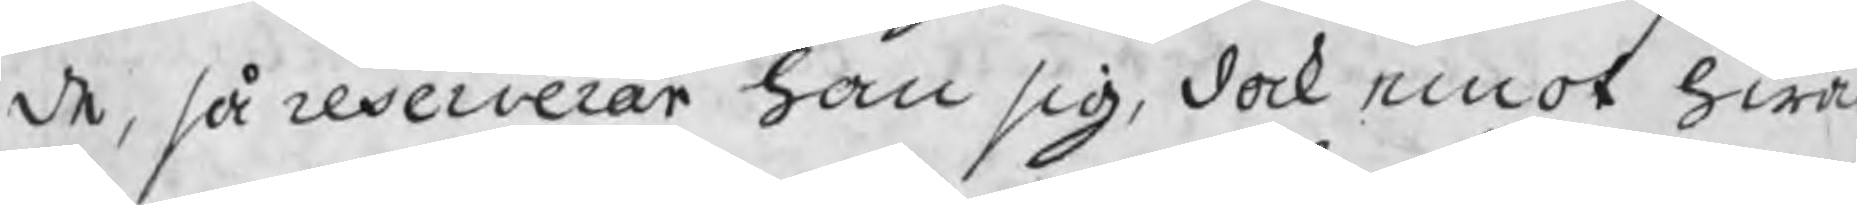de, så reserverar han sig, dock emot hwad
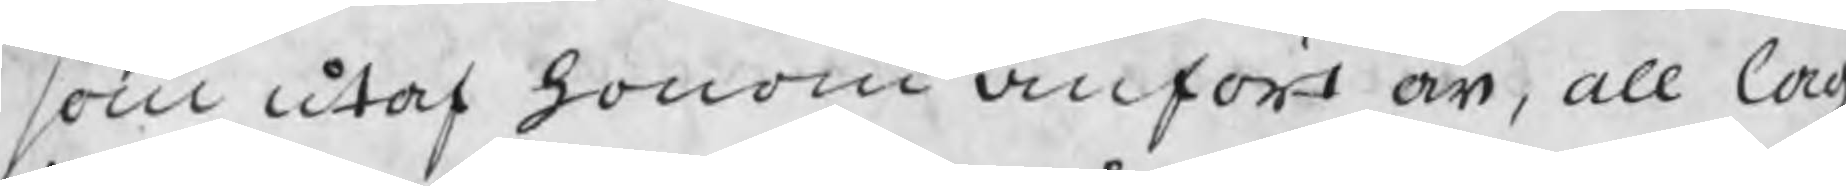som utaf honom anförs är, all lag
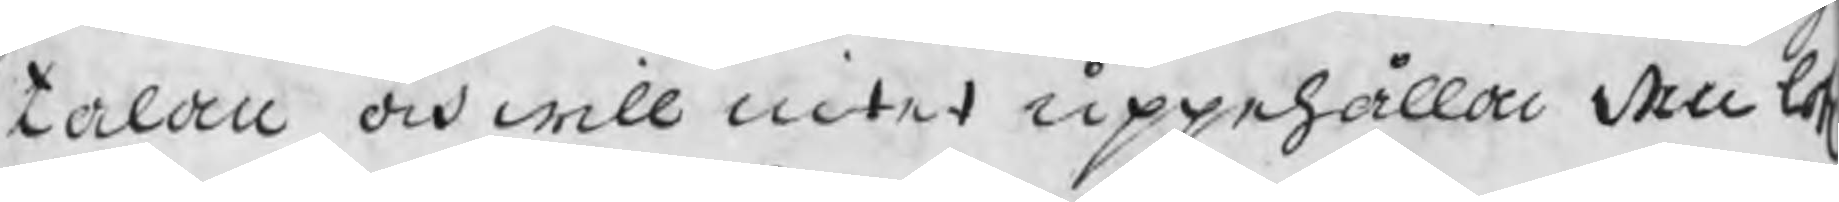talan och will intet uppehålla den lof
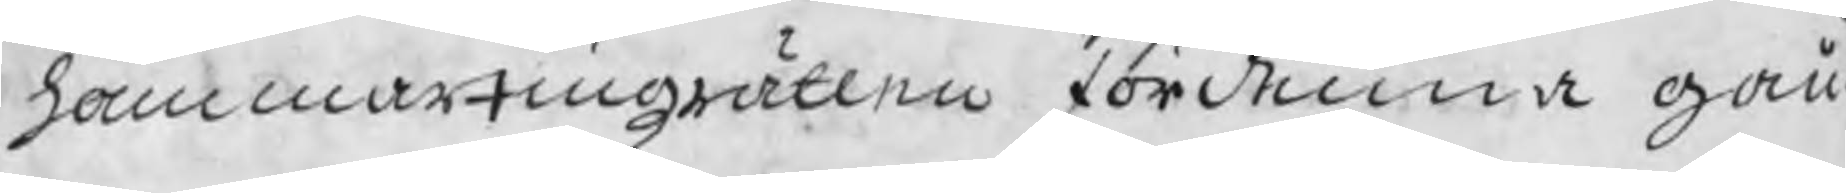hammartingzrätten för denna gån¬
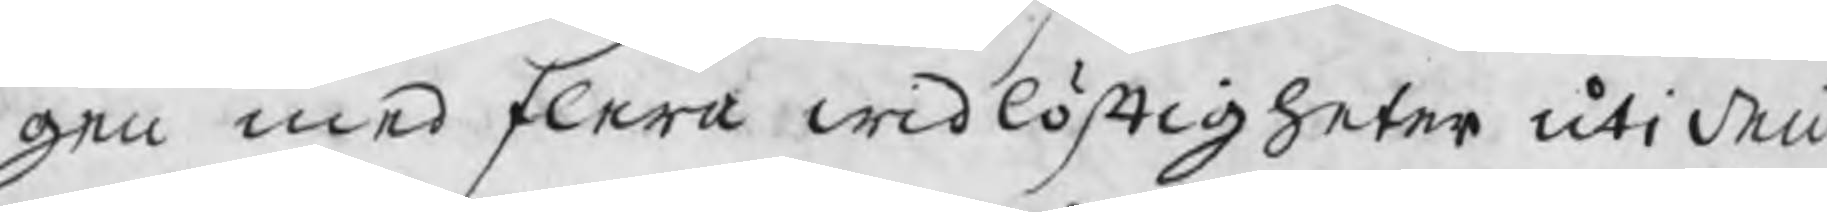gen med flera widlöftigheter uti den
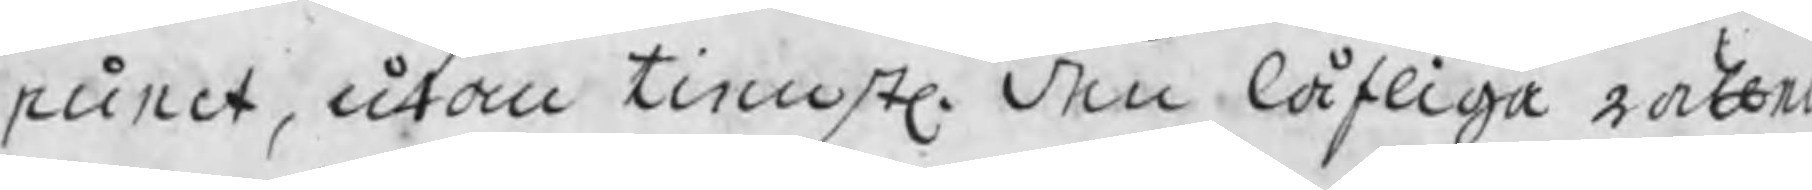runet, utan tienstl. den låfliga rätte
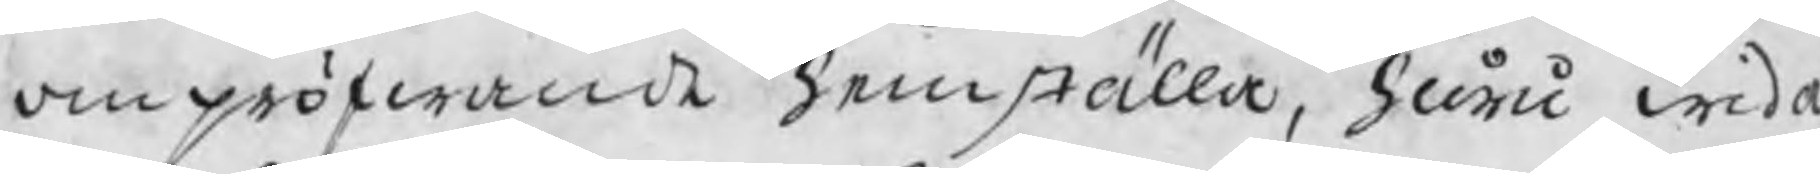om pröwande hemställa, huru wida
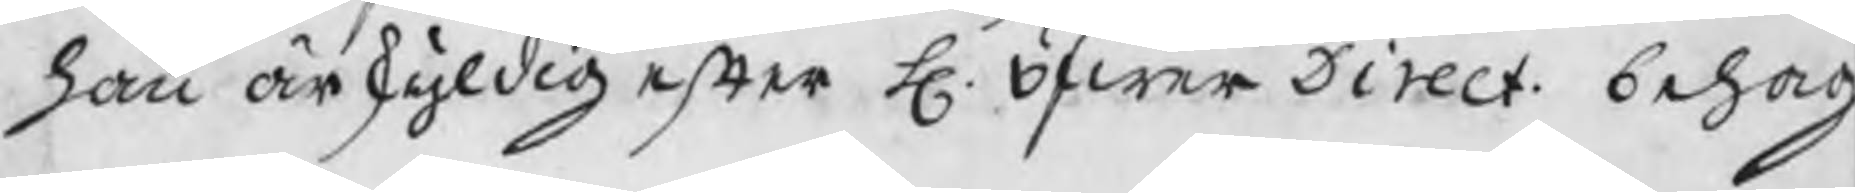han är skyldig efter H. Öfwer Direct. behag
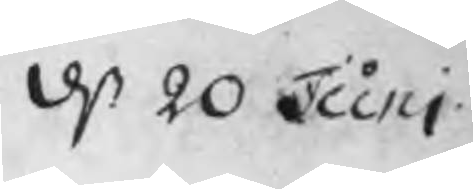d 20 Juni
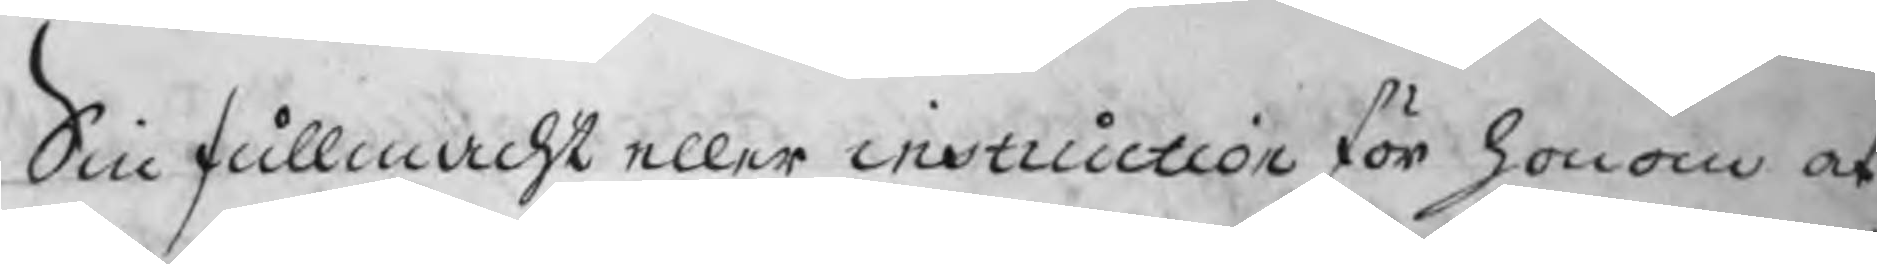Sin fullmacht eller instruction för honom at
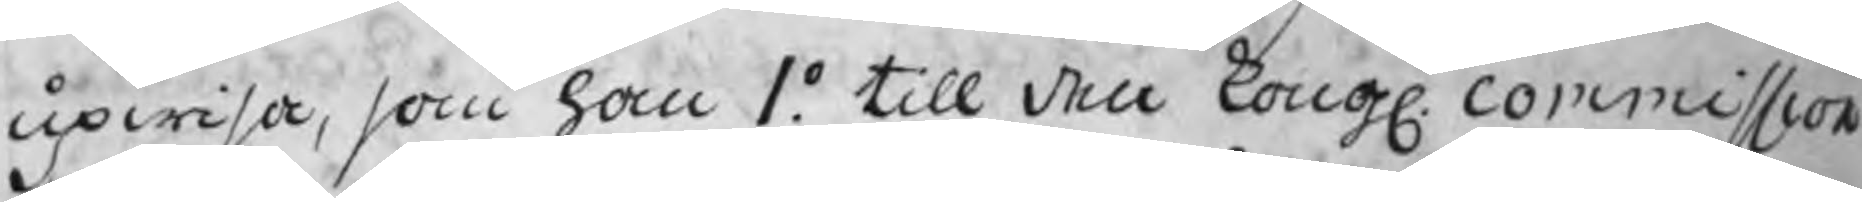upwisa, som han 1o. till den Kongl. commission
